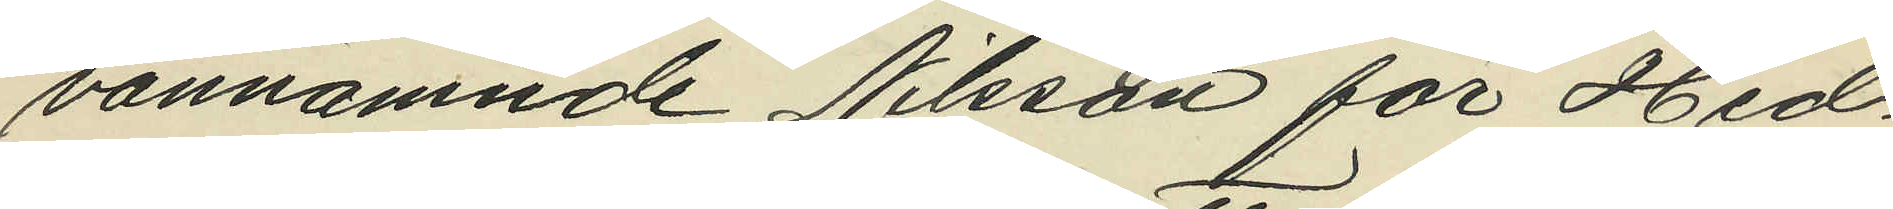vannämnde Nilsson för Hed¬
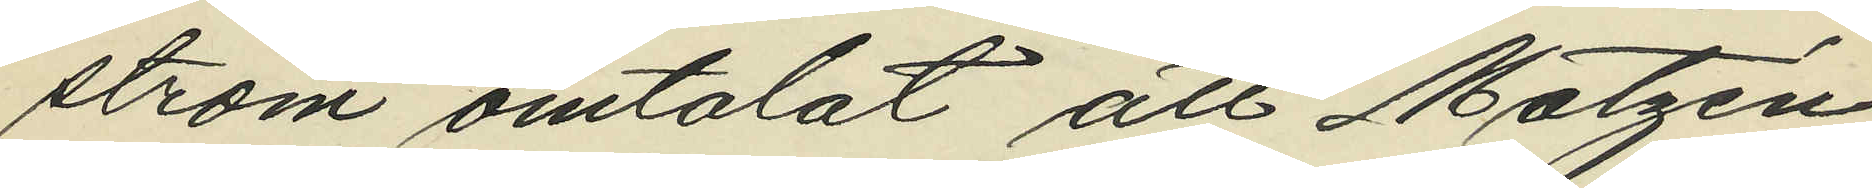ström omtalat att Matzén
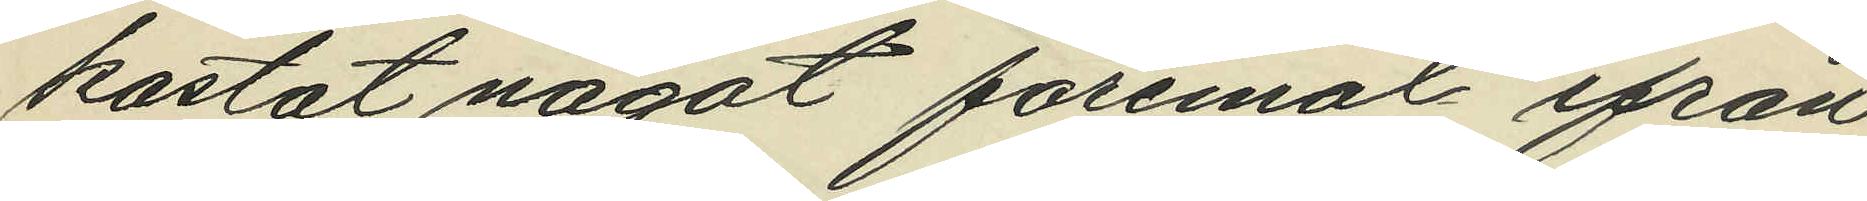kastat något föremål ifrån
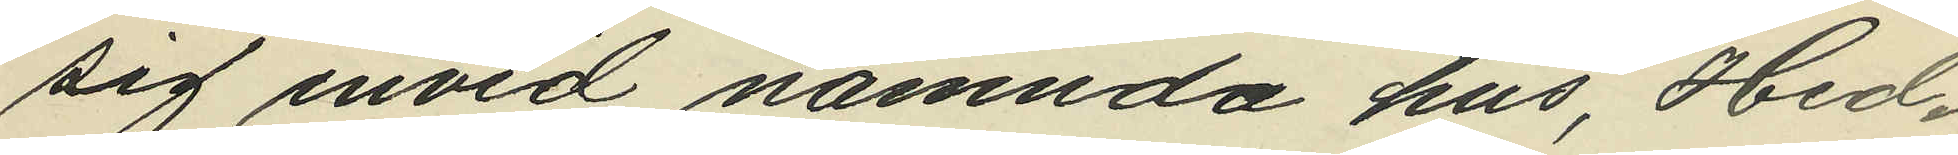sig invid nämnda hus, Hed¬
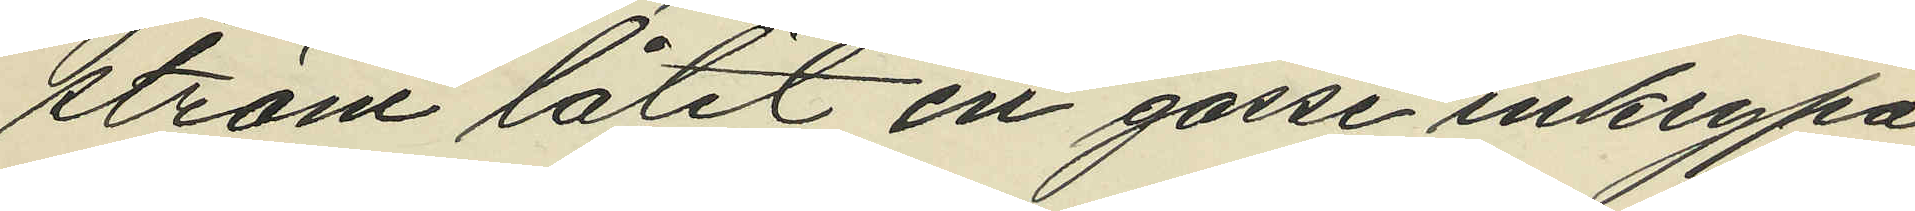ström låtit en gosse inkrypa
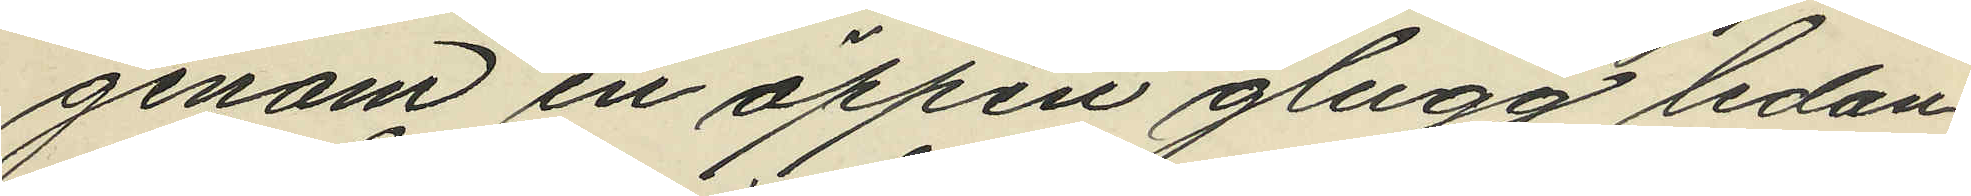genom en öppen glugg ledan¬
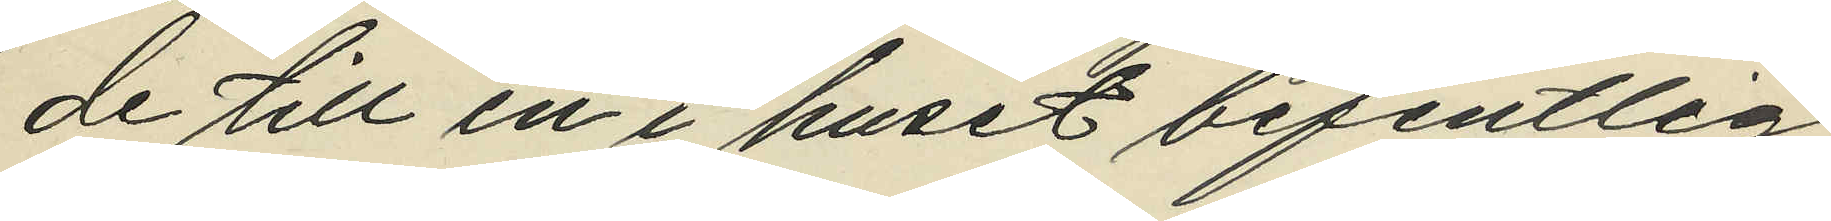de till en i huset befintlig
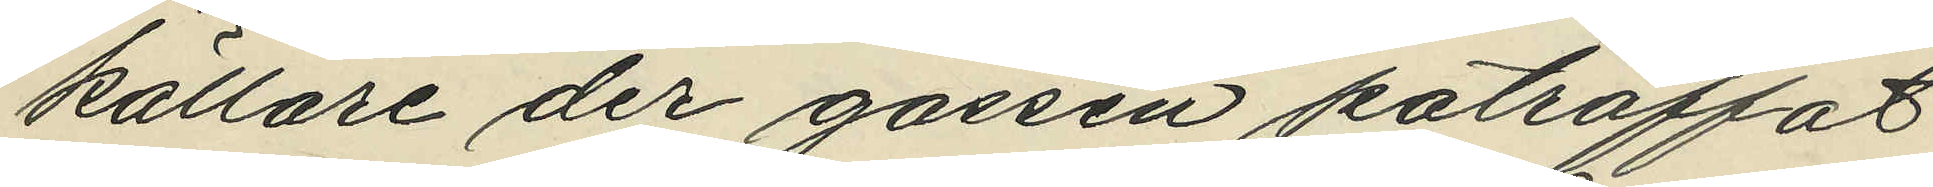källare der gossen paträffat
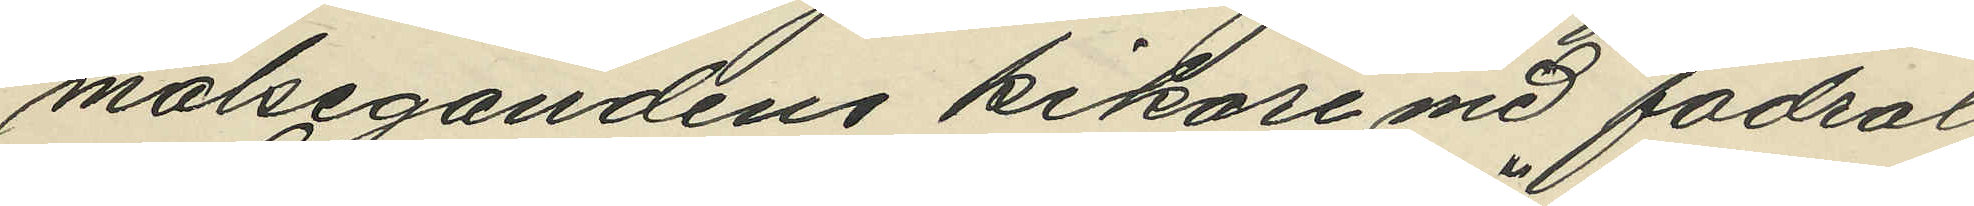målsegandens kikare med fodral
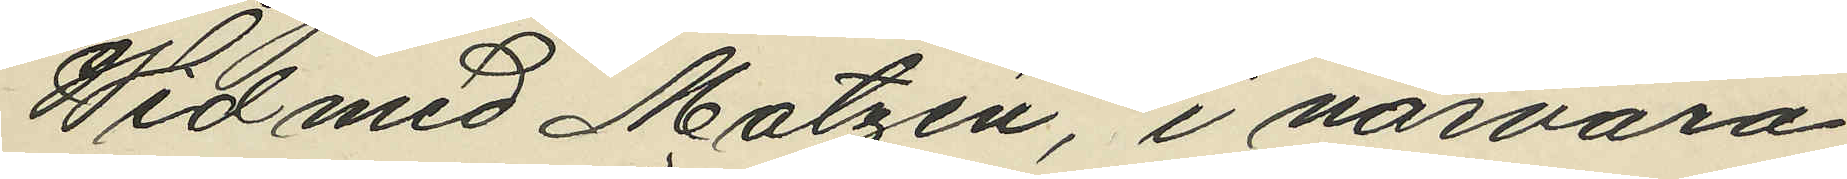Wid med Matzén, i närvaro
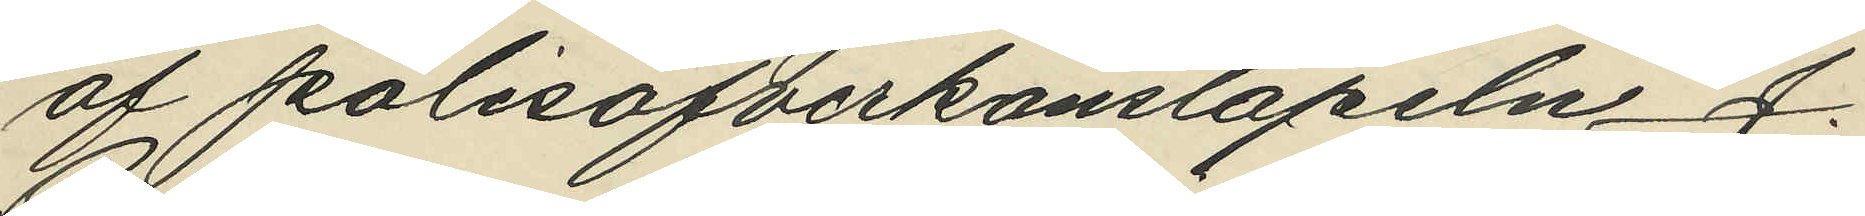af polisöfverkonstapeln J.
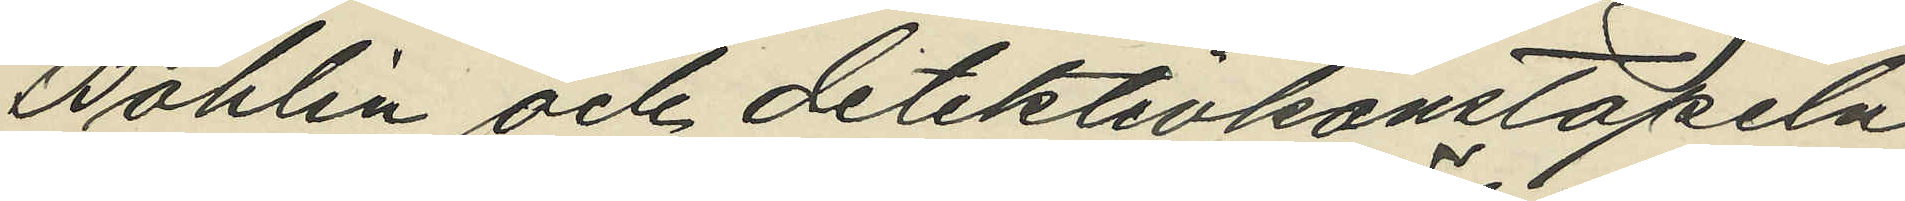Bohlin och detektivkonstapeln
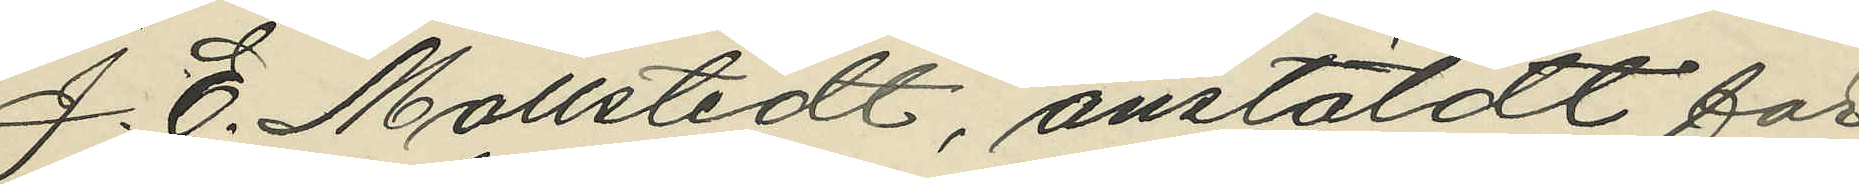J. E. Mollstedt, anstäldt för
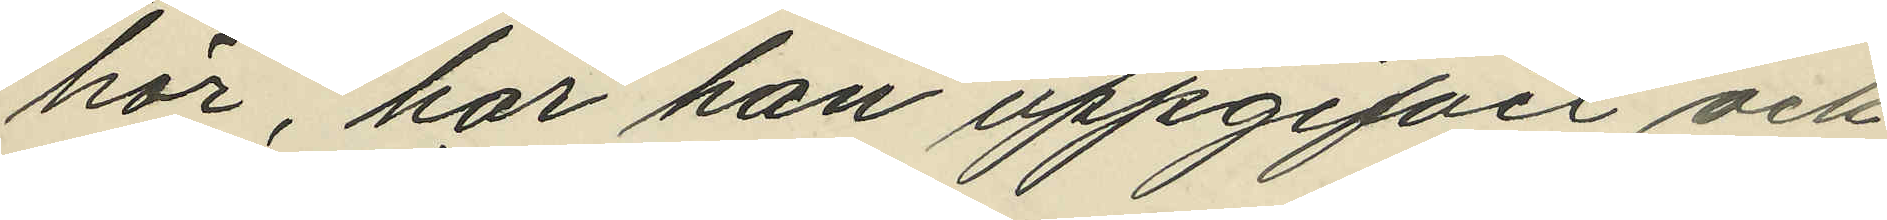hör, har han uppgifvit och
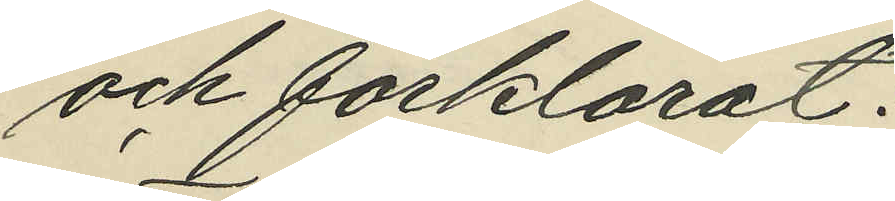och förklarat:
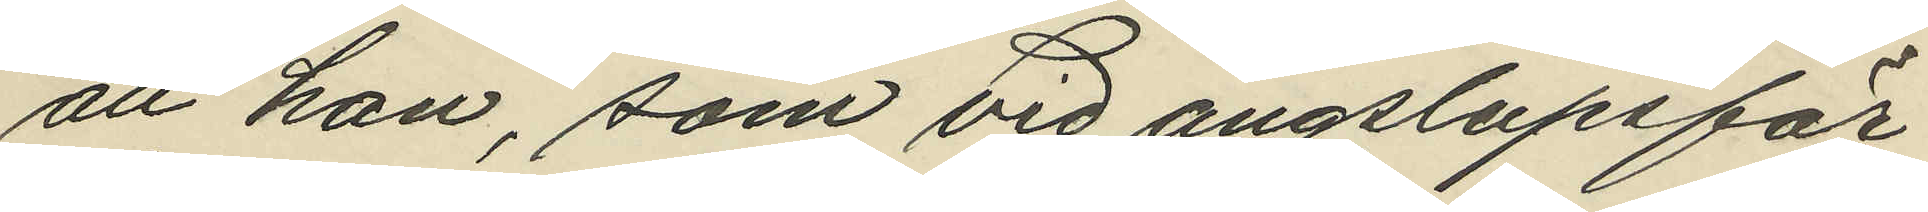att han, som vid ångslupsfär¬
